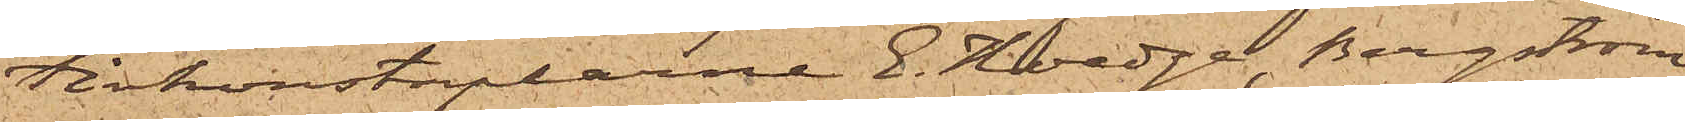tivkonstaplarne E. Hoedge, Bergström
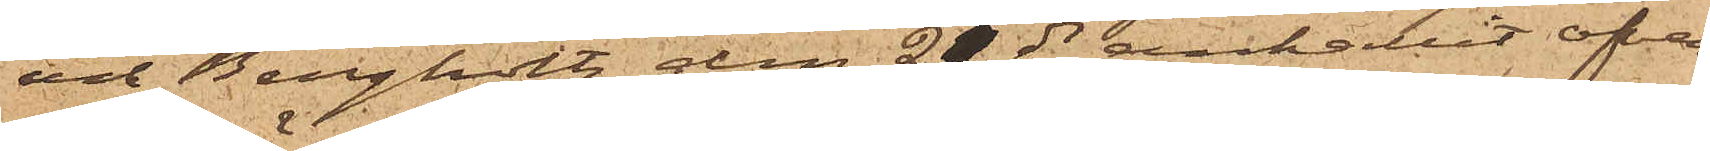och Bergholtz den 21 ds anhållit ofvan¬
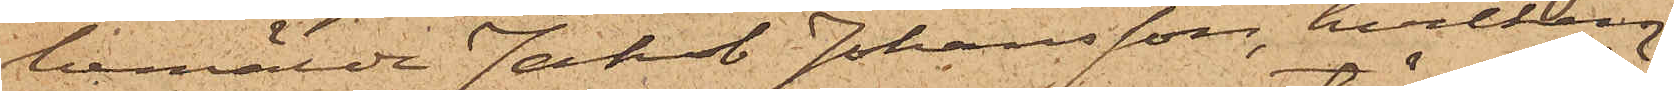bemälde Jakob Johansson, hvilken
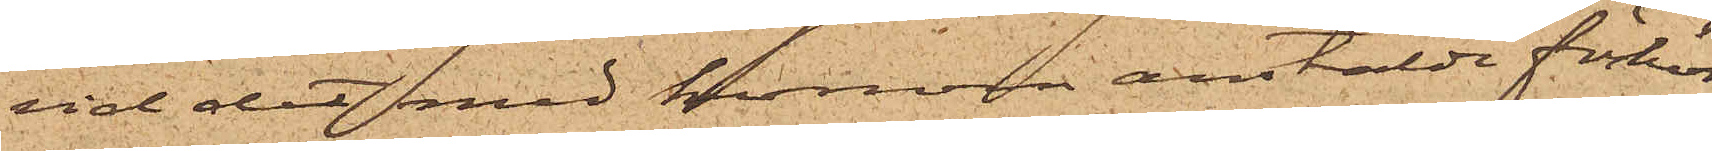vid det med honom anstälde förhör
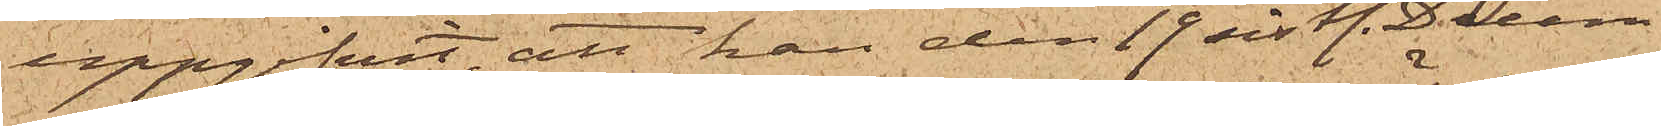uppgifvit, att han den 19 sistl. Decem¬
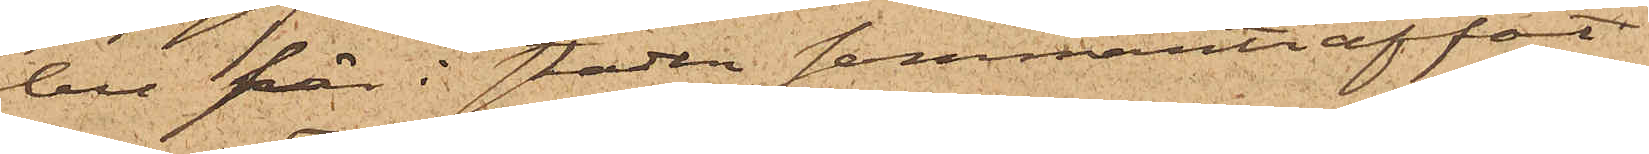ber från i staden sammanträffat
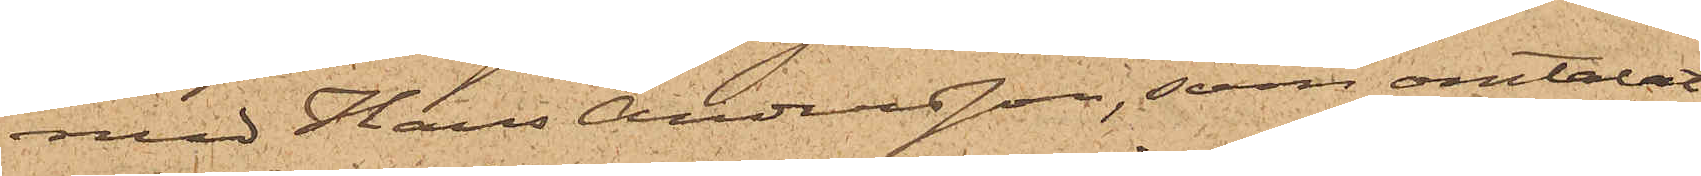med Hans Andersson, som omtalat
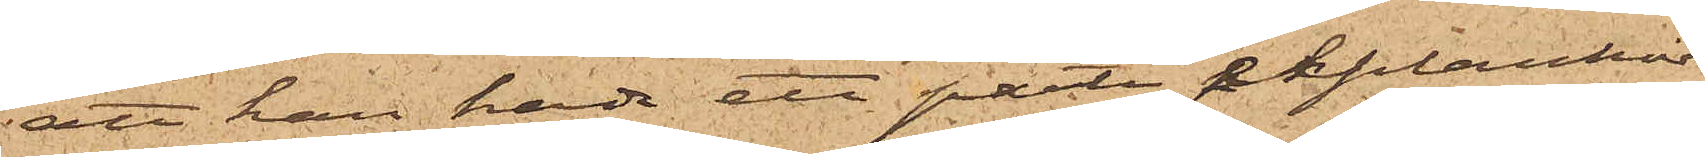att han hade ett parti ekplankor
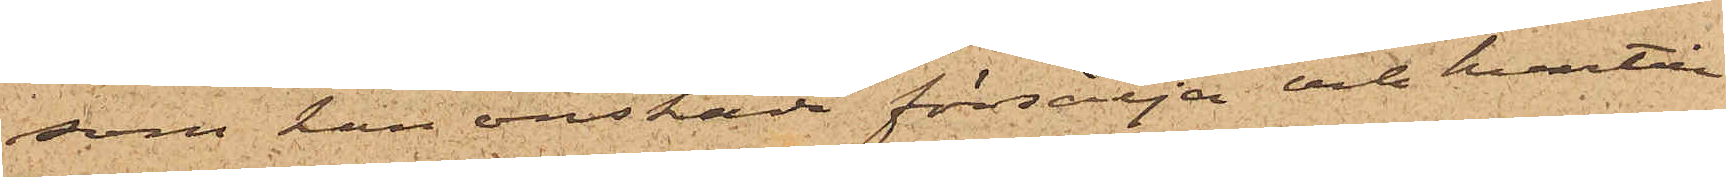som han önskade försälja och hvartill
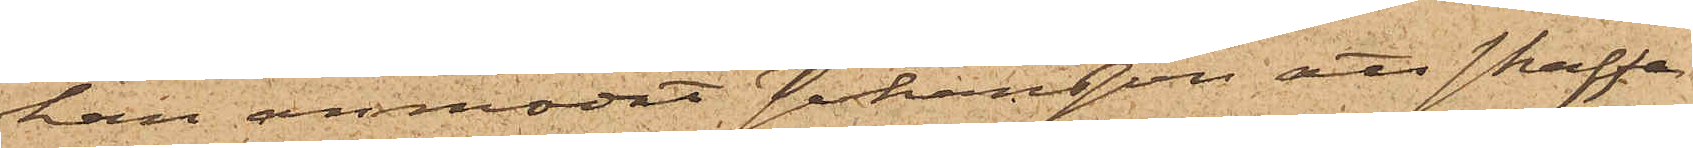han anmodat Johansson att skaffa
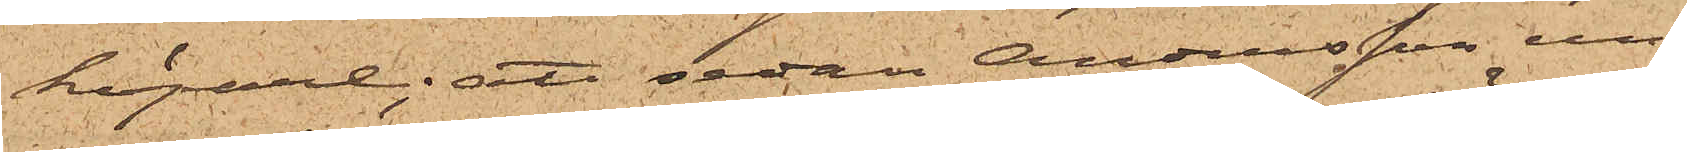köpare; att sedan Andersson un¬
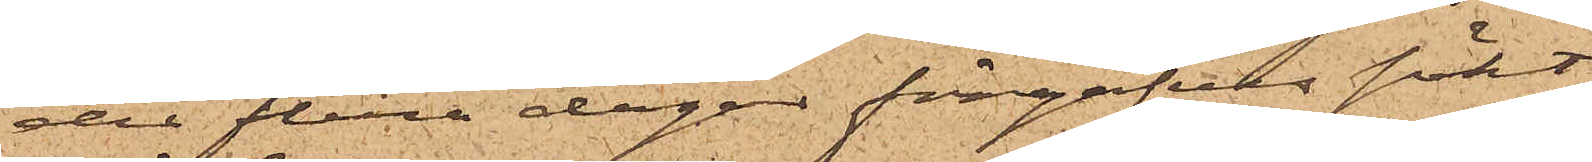der flera dagar förgäfves sökt
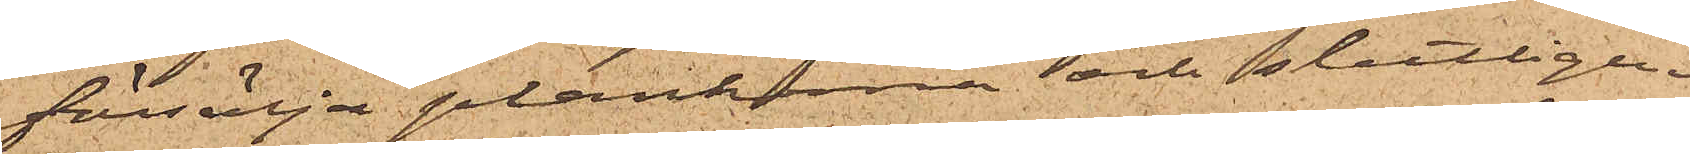försälja plankorna och slutligen
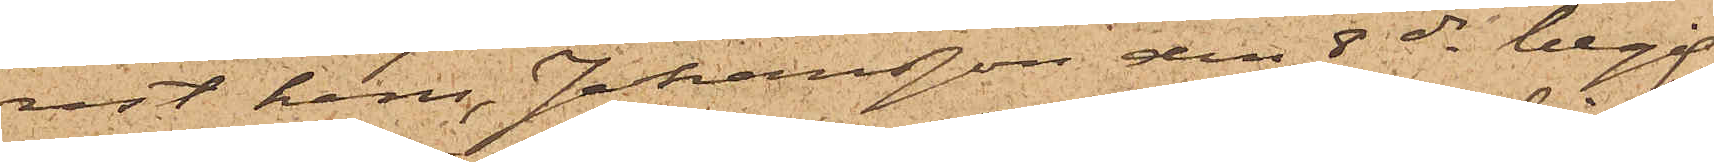rest hem, Johansson den 8 ds begif¬
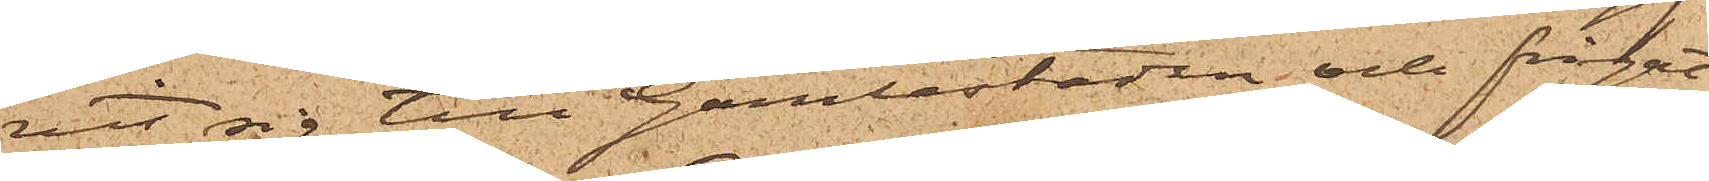vit sig till Gamlestaden och frågat
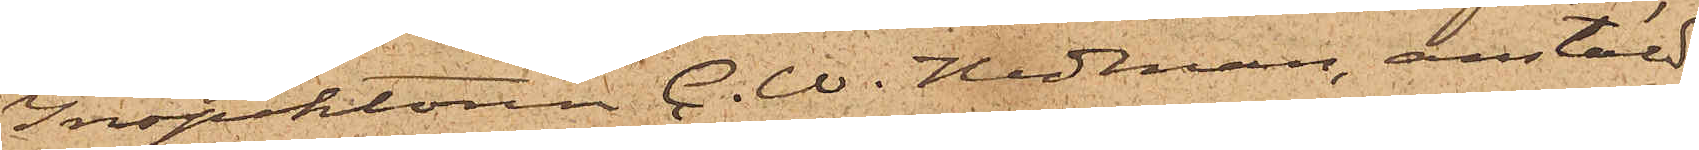Inspektören C. W. Hedman, anstäld
